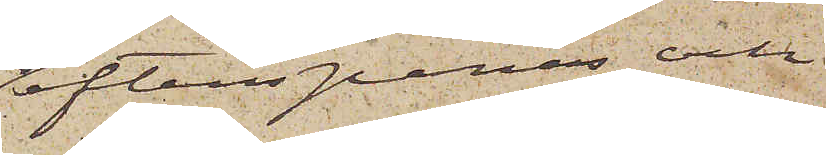efterspanas och
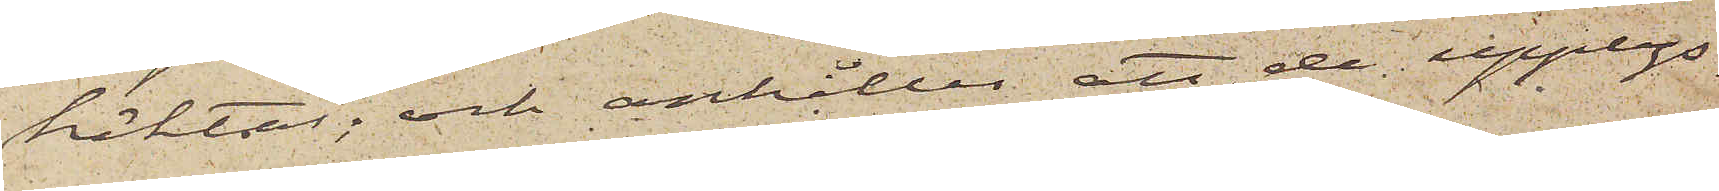häktas; och anhåller att de upplys¬
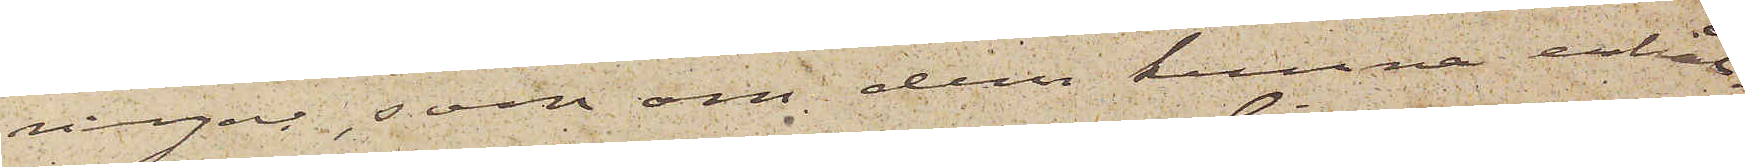ningar, som om dem kunna erhål¬
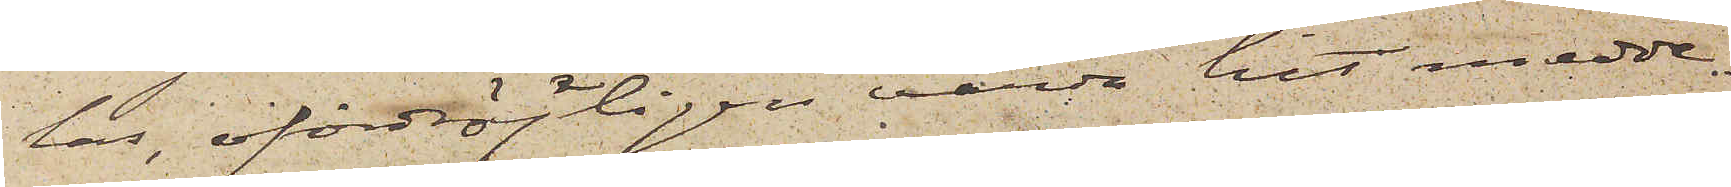las, ofördröjligen varda hit medde¬
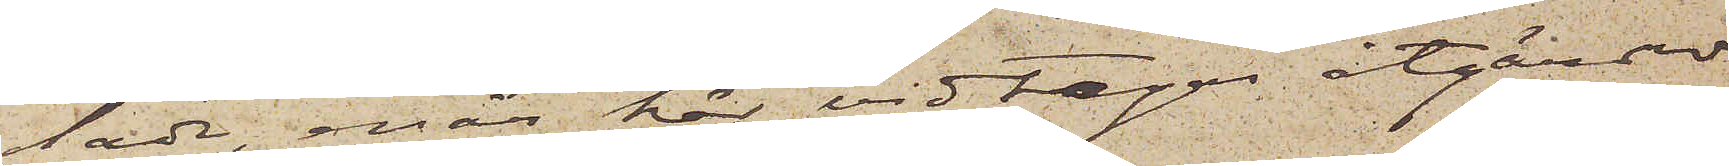lade, enär här vidtagas åtgärder
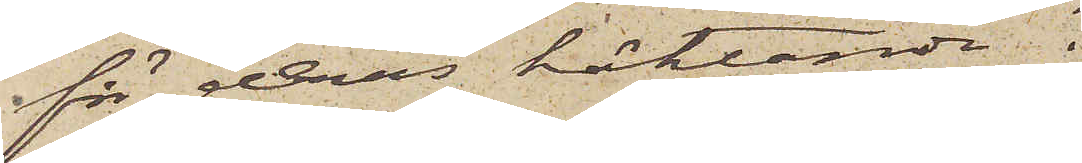för deras häktande.
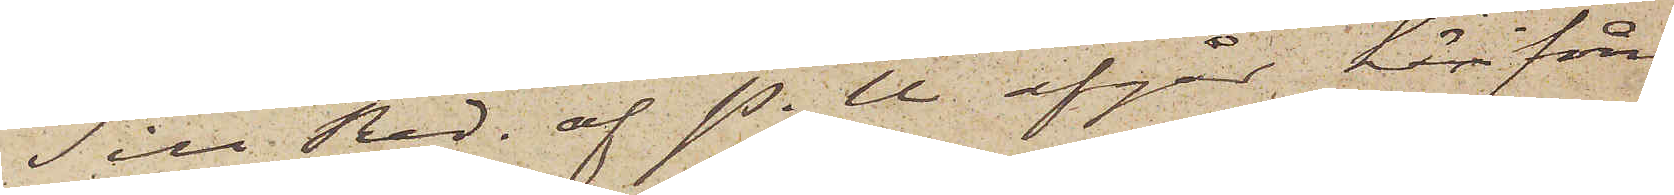Till Red. af P.U. afgår härifrån
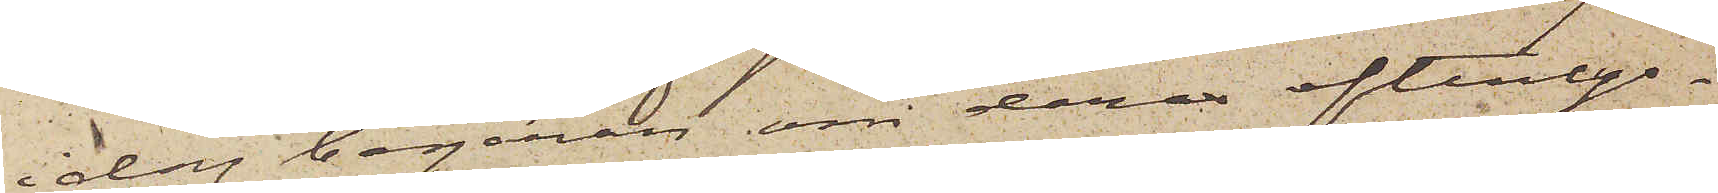idag begäran om deras efterlys¬
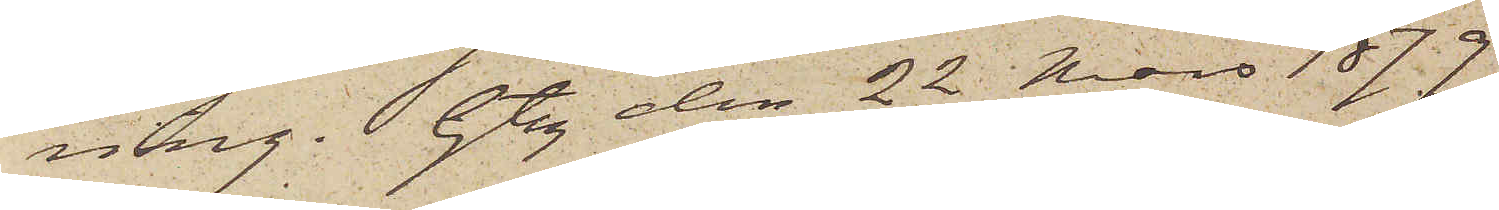ning. Gbg den 22 Mars 1879.
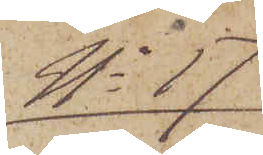No 17
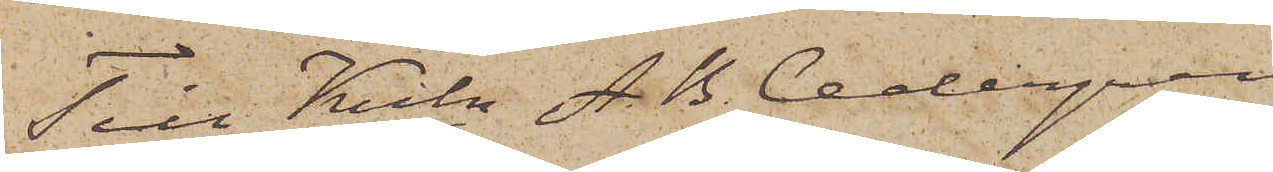Till Krln A. B. Cedergren
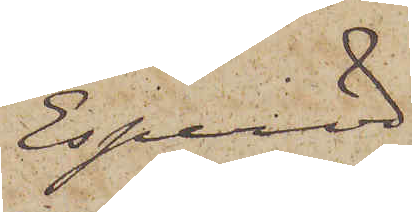Esperöd.
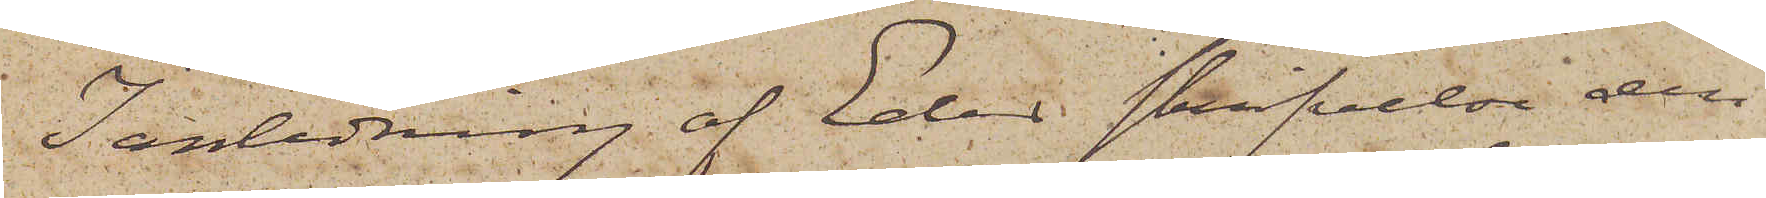I anledning af Eder skrifvelse den
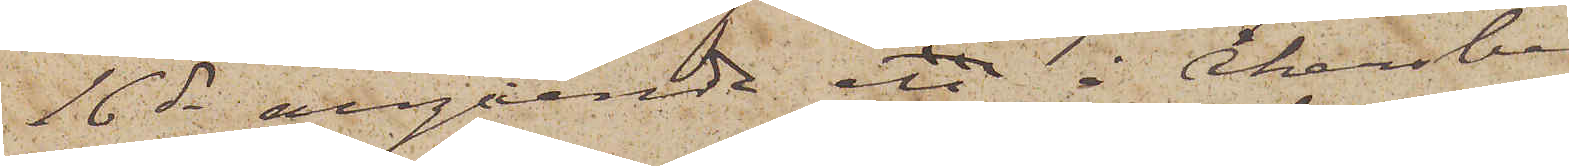16 ds angående en å Åkersberg
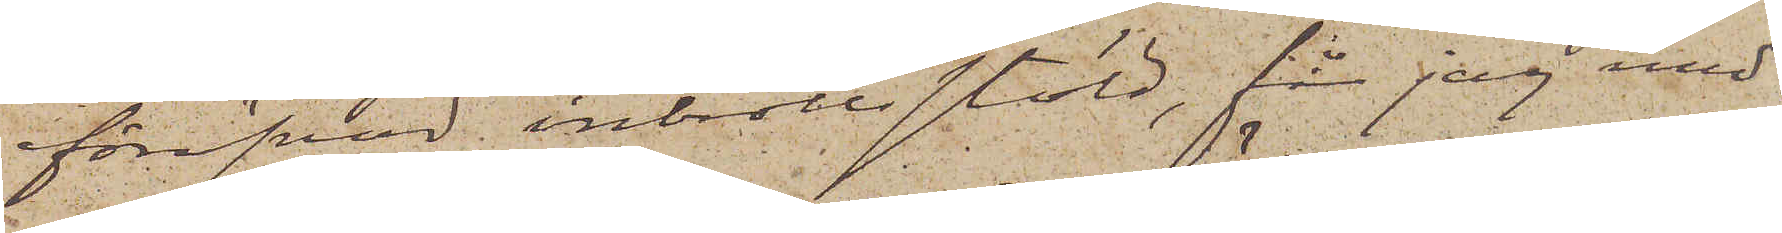föröfvad inbrottsstöld, får jag med¬
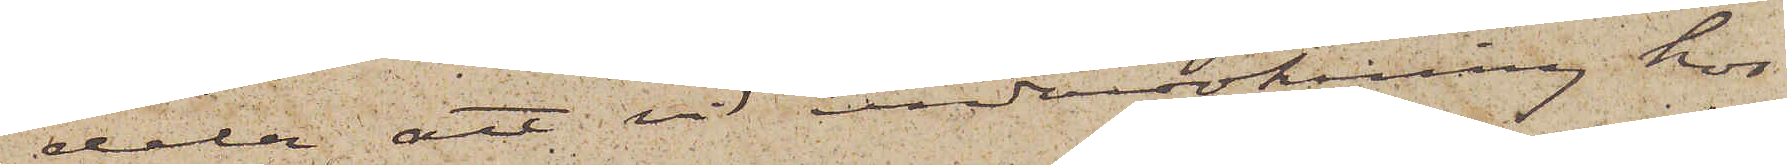dela att vid undersökning hos
